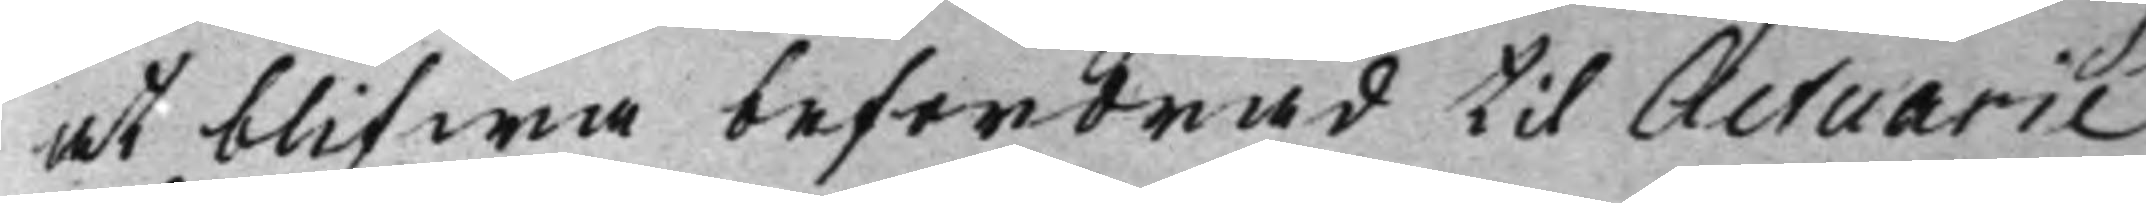at blifwa befordrad til Actuarie
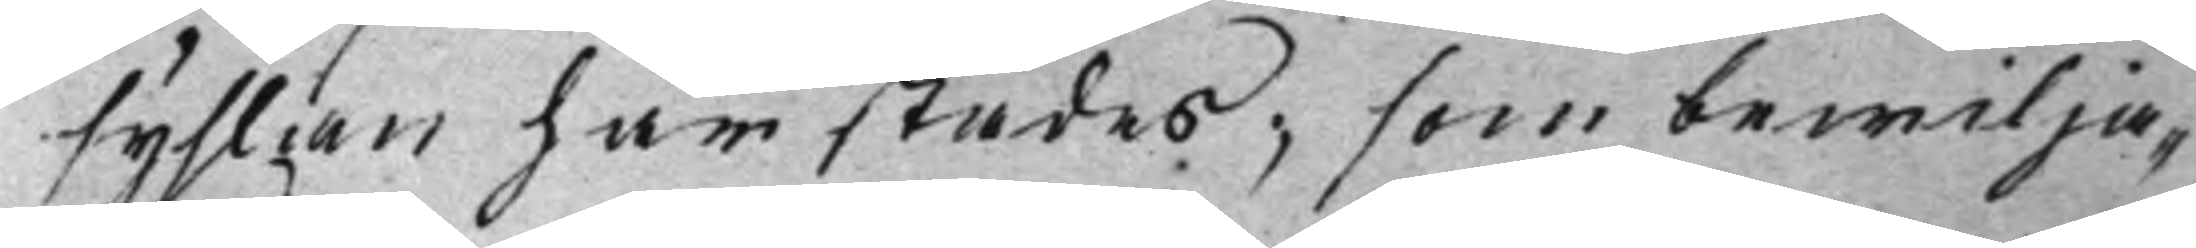syslan härstädes; som bewilja¬
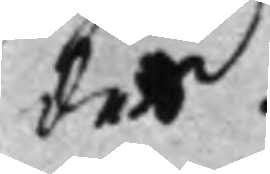des.
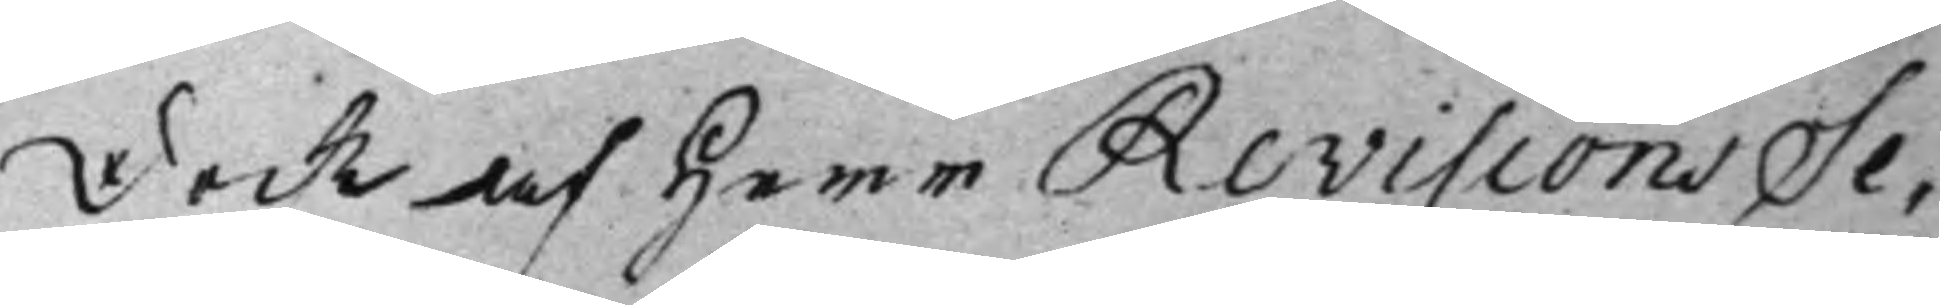Dock af Herr RevisionsSe¬
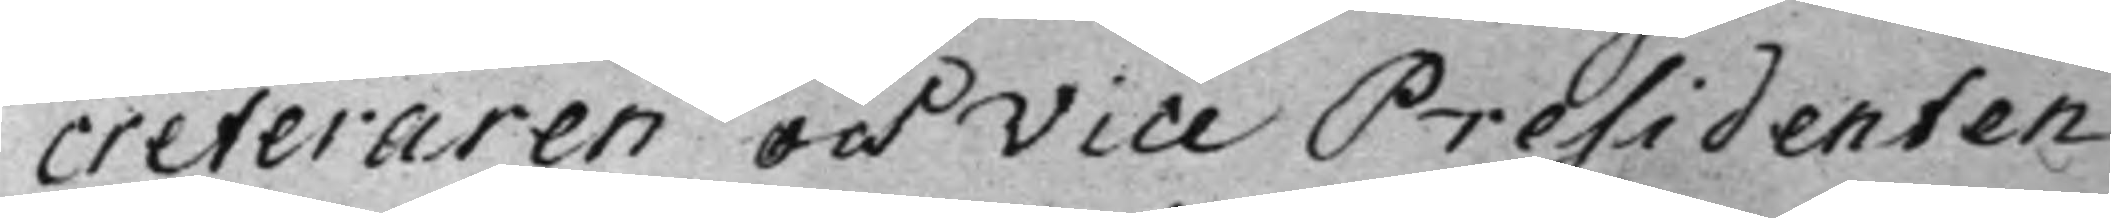creteraren och Vice Presidenten
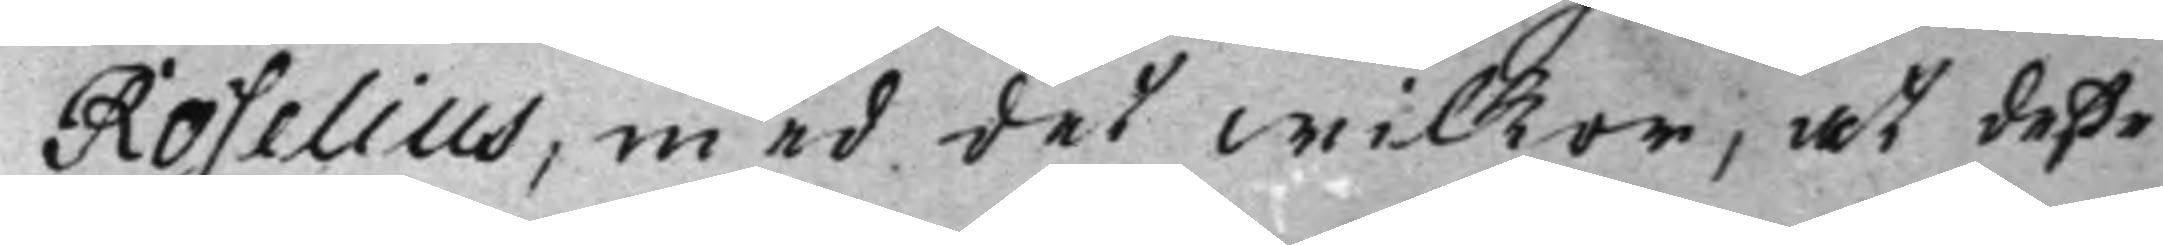Roselius, med det wilkor, at deße
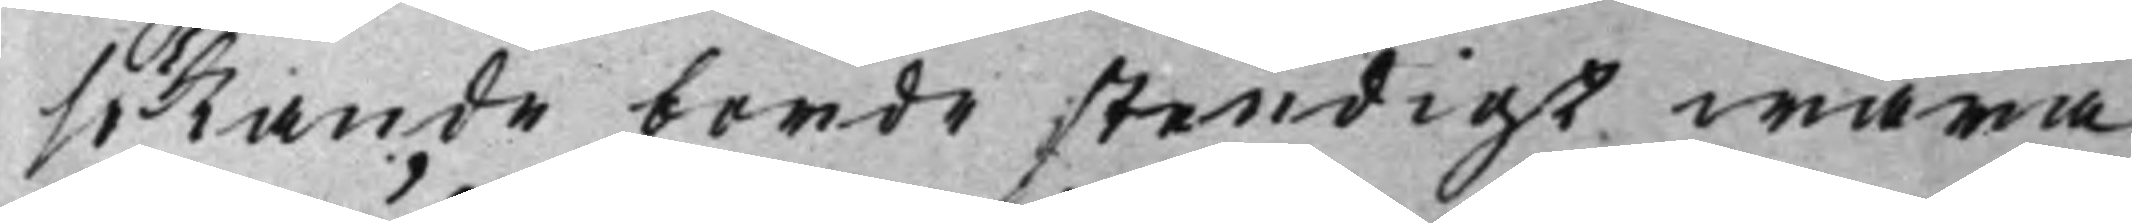sökande borde stendigt wara
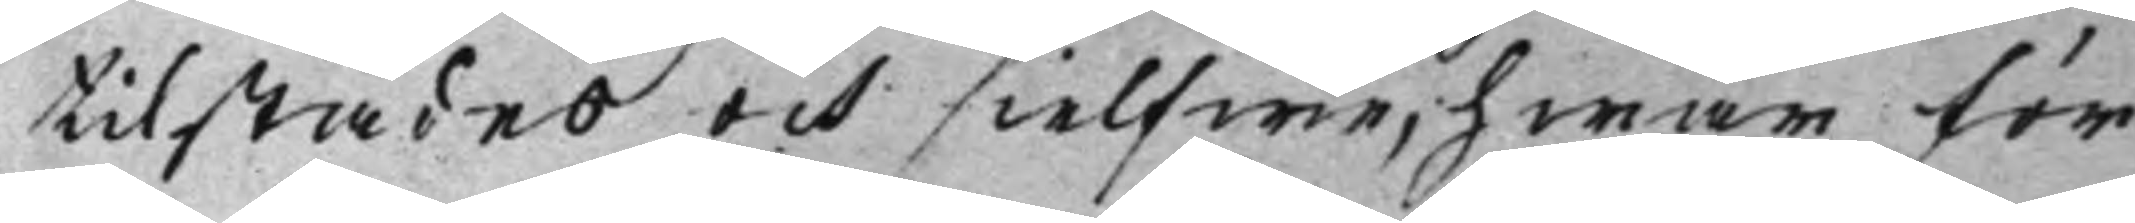tilstädes och sielfwe, hwar för
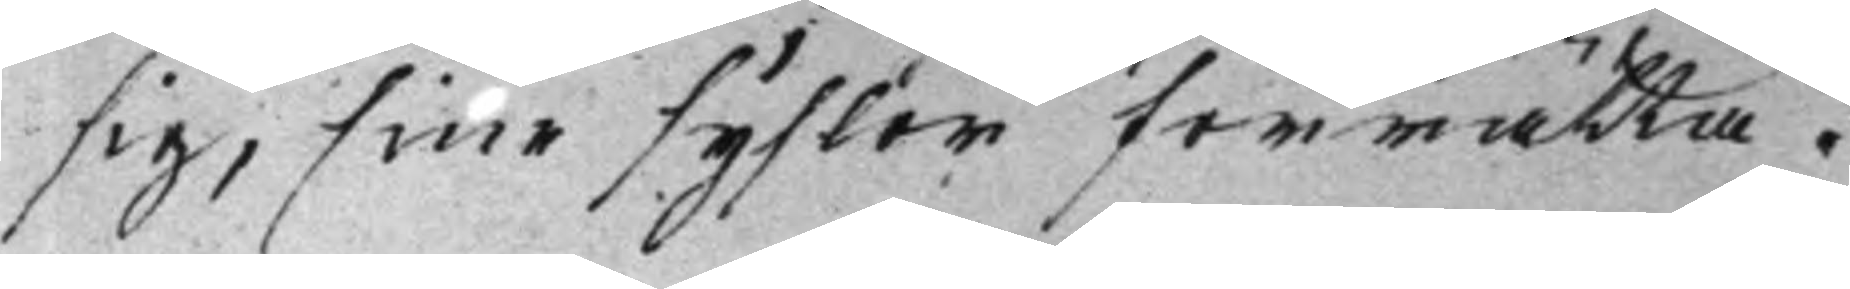sig, sine syskor förrätta.
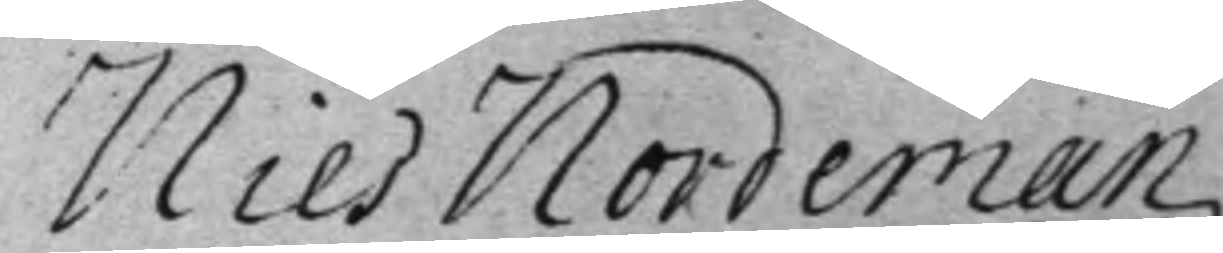Nils Nordeman
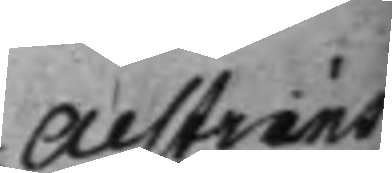Alstrins
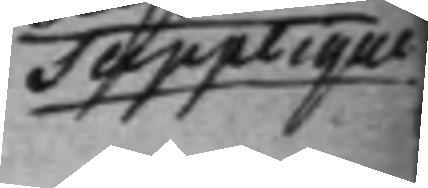Supplique
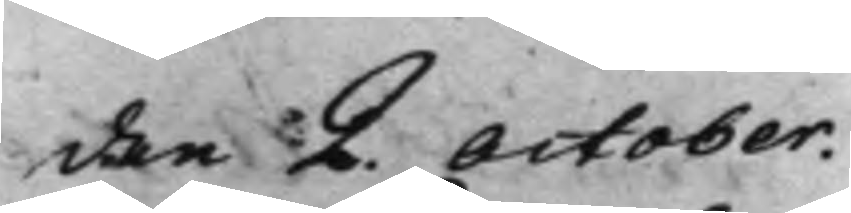den 2. October. 
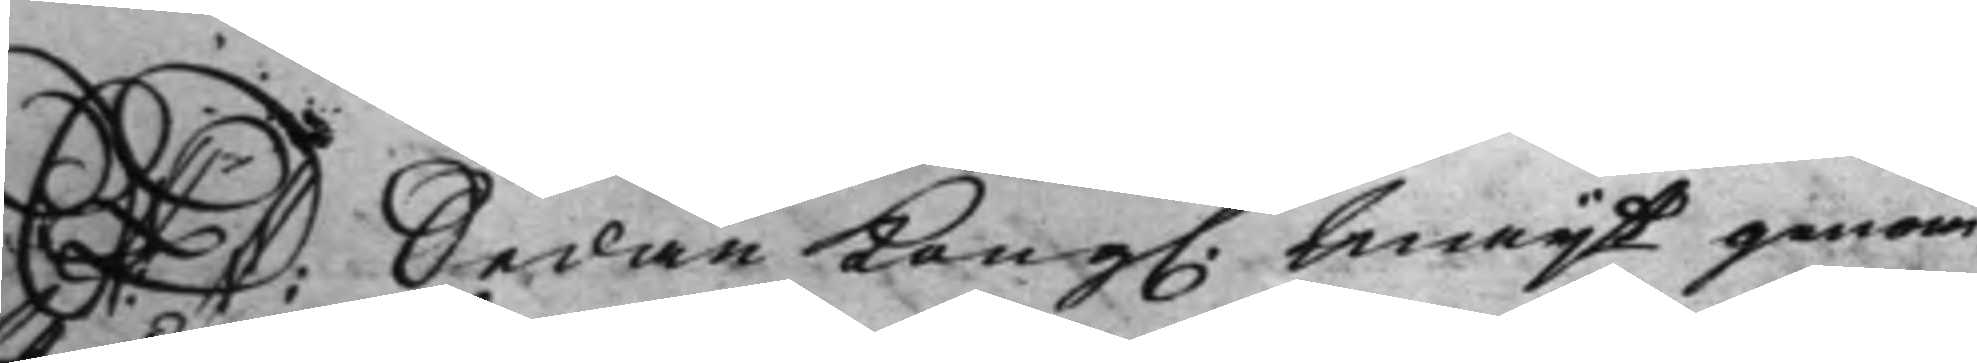S: D: Sedan Kong. Maijt genom 
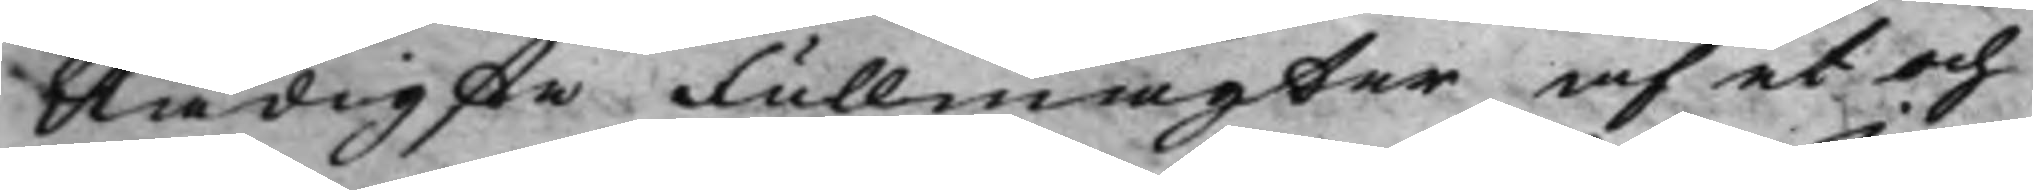Nådigste Fullmagter af et och
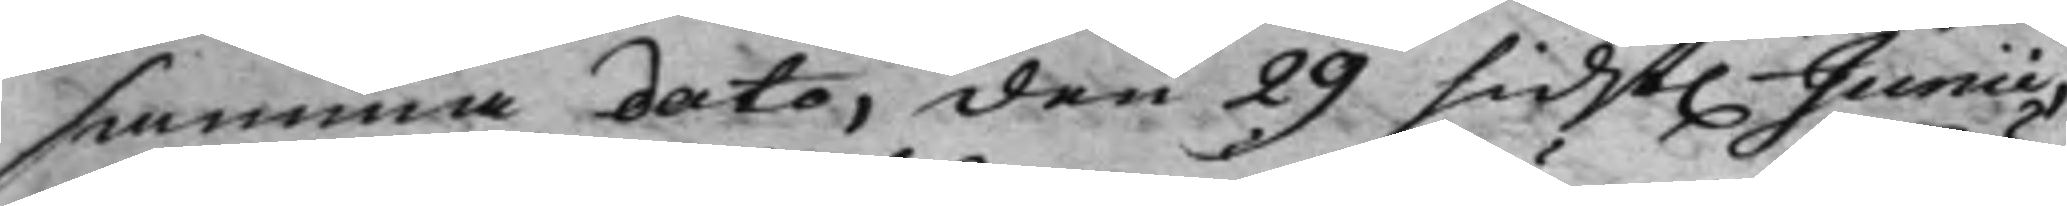samma dato, den 29 sidst. Junii, 
